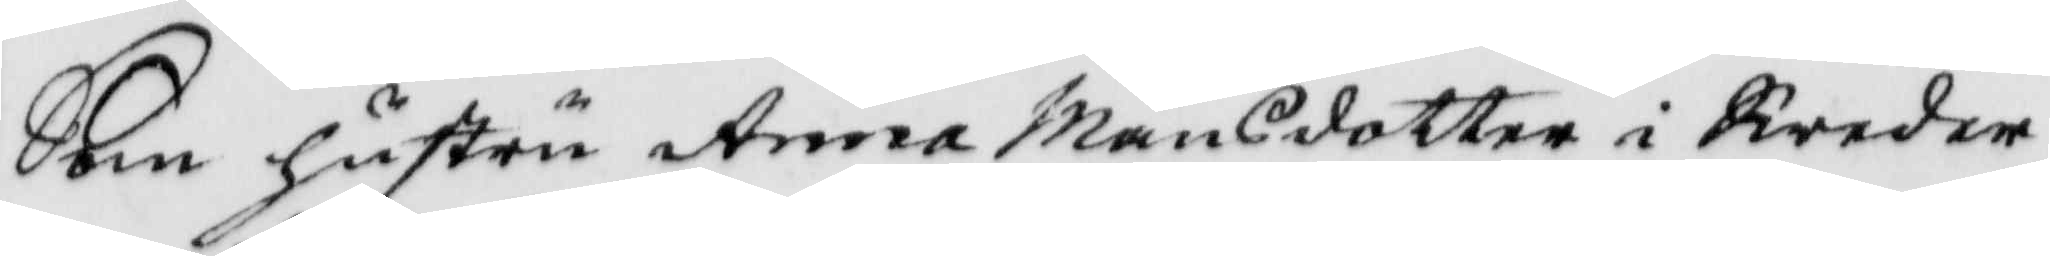Som hustru Anna Månsdotter i Sweder¬
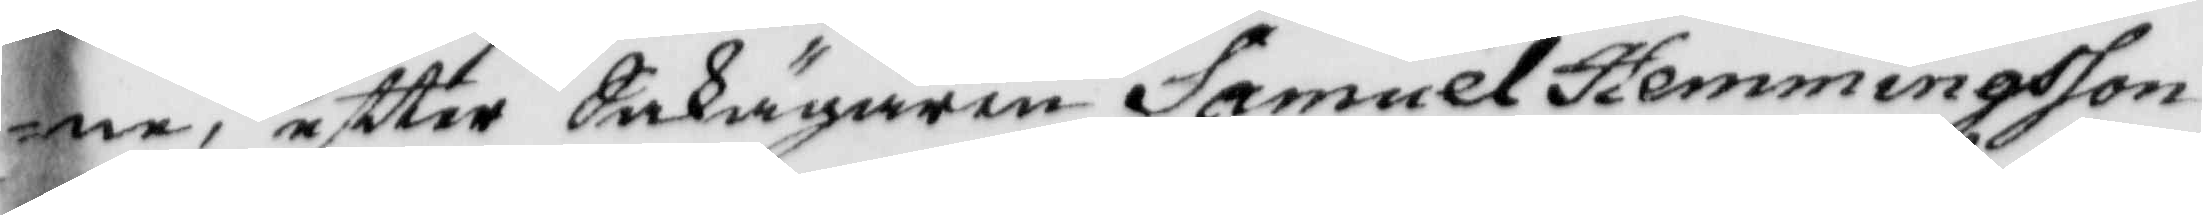ne, eftter Sakägaren Samuel hemmingsson
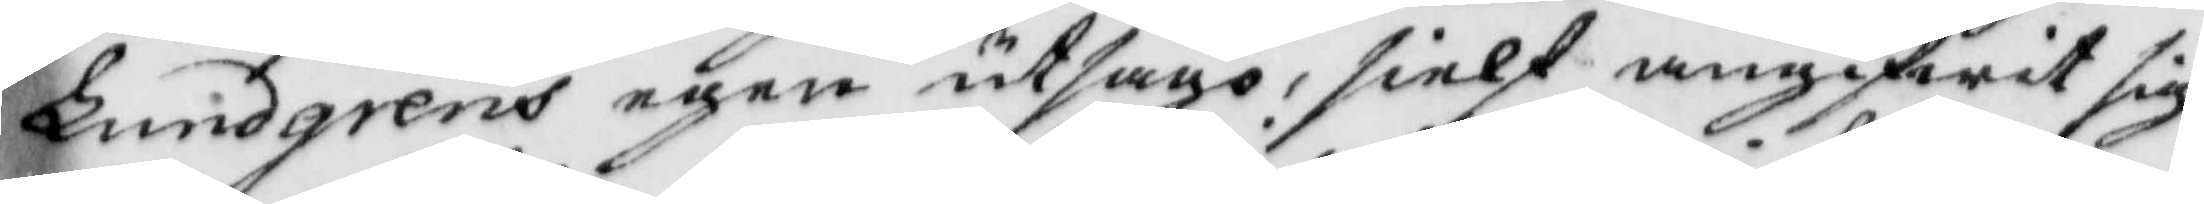Lundgrens egen utsago, sielf angifwit sig
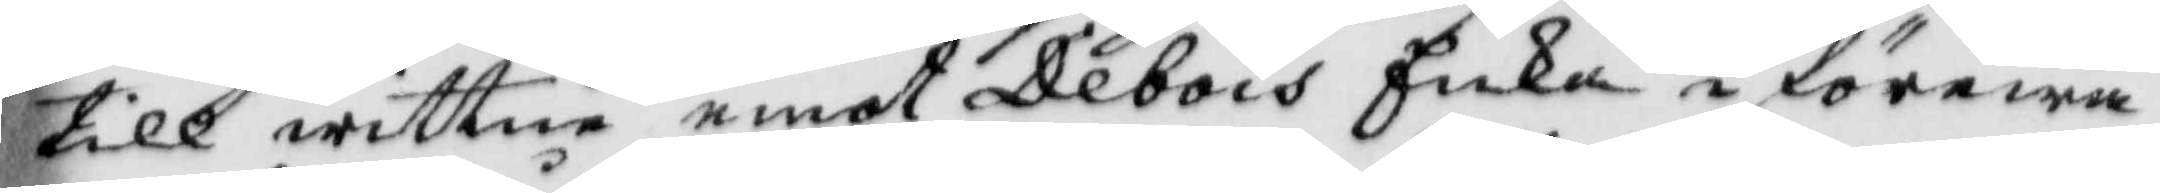till wittne emot Debois Enka i förewa¬
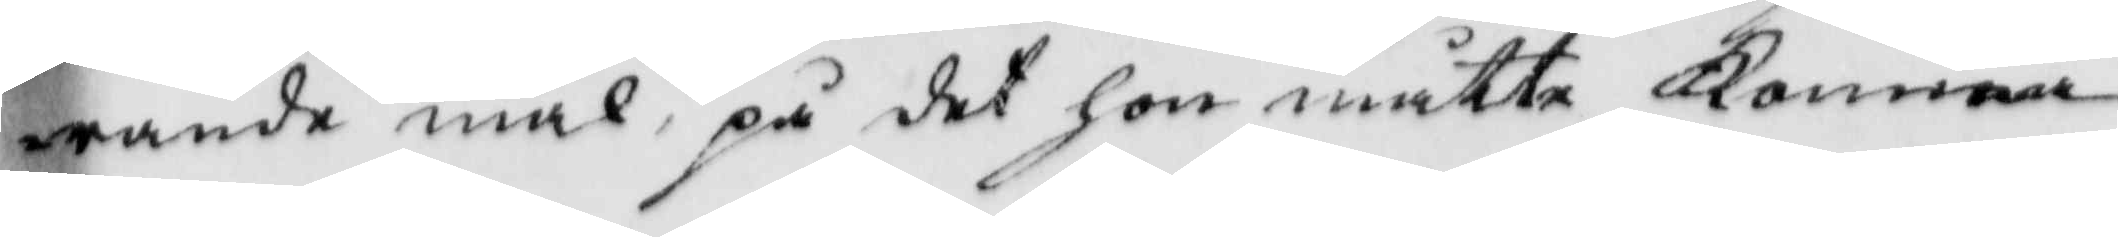rande mål, på det hon måtte Komma
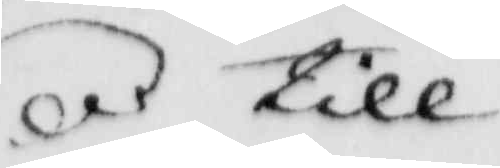till
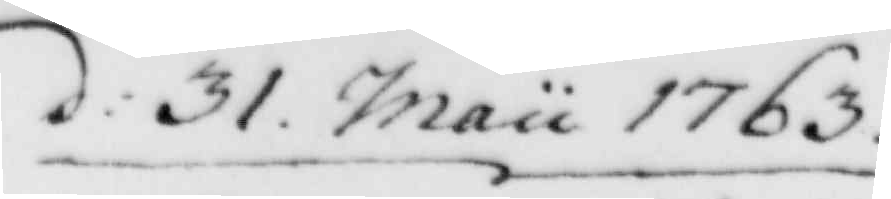d: 31 Maii 1763.
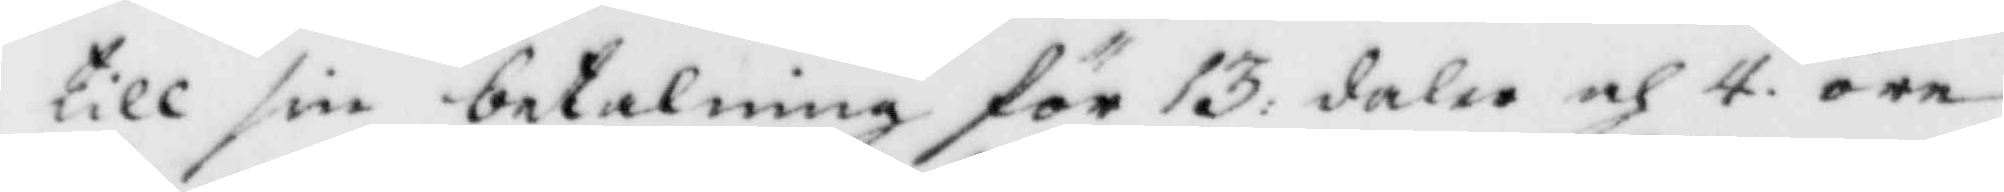till sin betalning för 13: daler och 4 öre
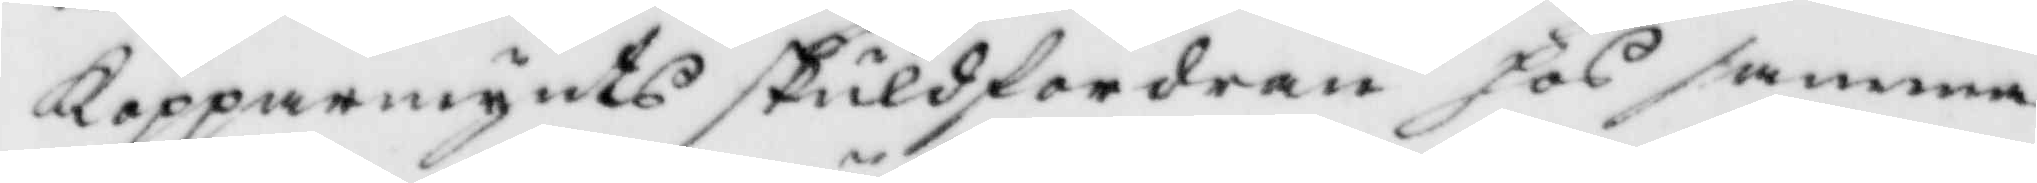Kopparmynts skuldfordran hos samma
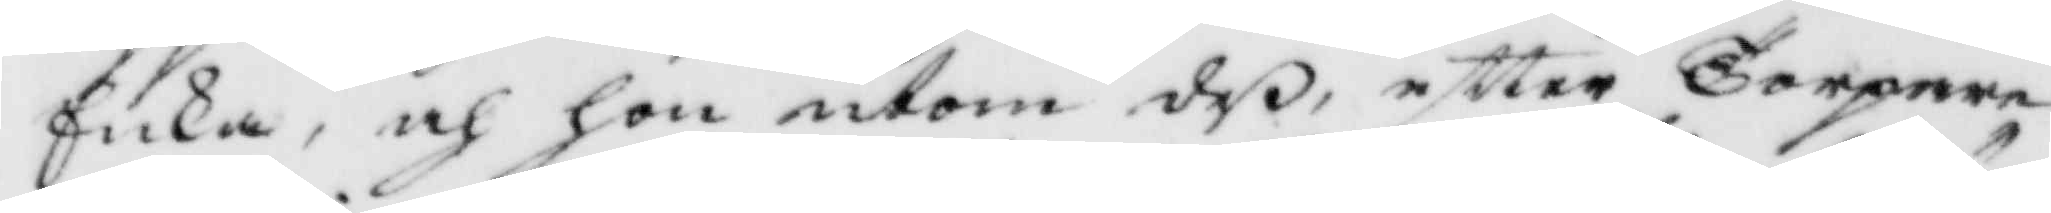Enka, och hon utom deß eftter Torpare¬
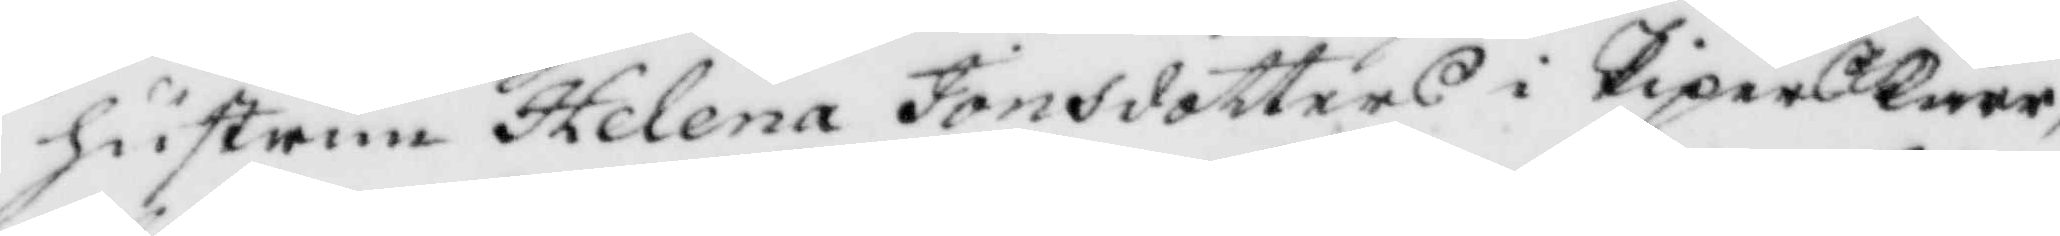hustru Helena Jonsdotters i PiperKärr
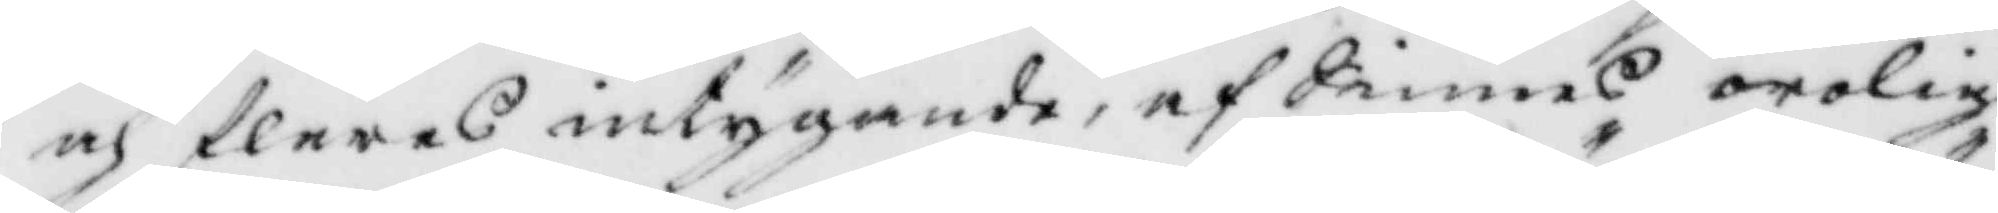och fleres intygande, af Sinnes orolog¬
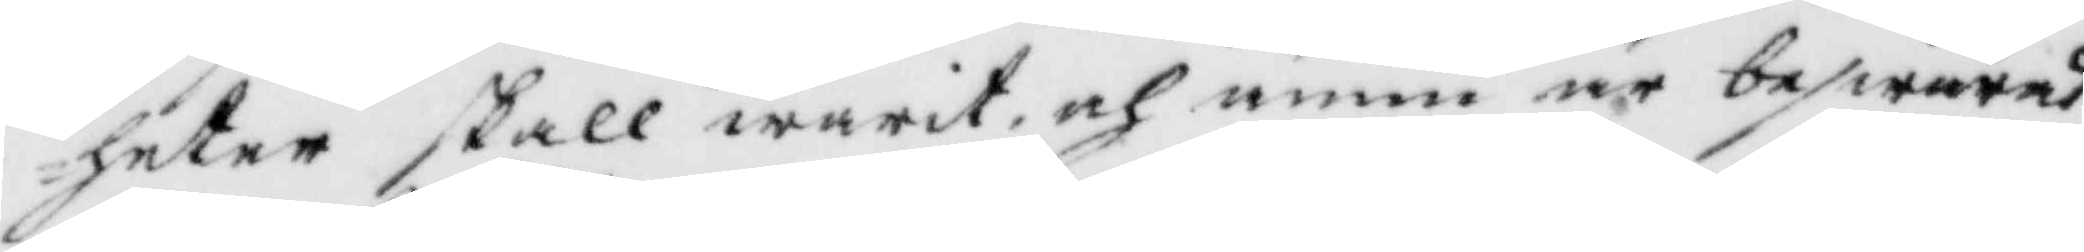heter skall warit och ännu är beswärad,
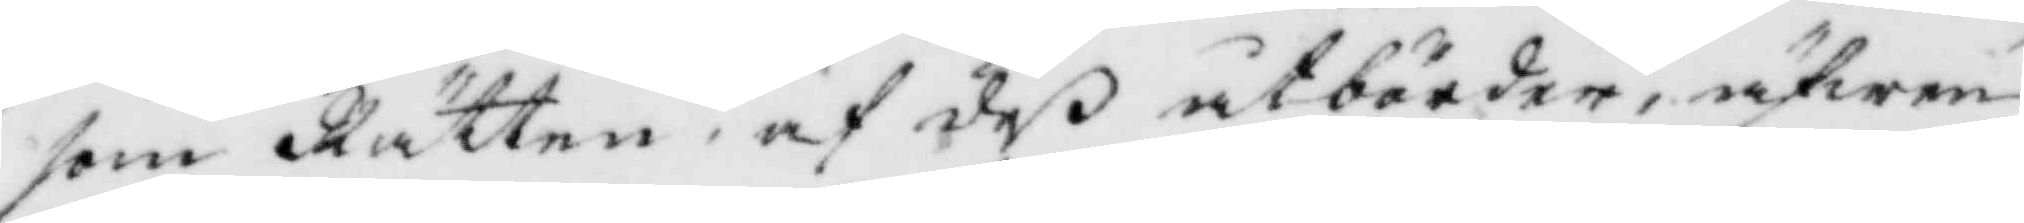som Rätten, af deß åtbörder, äfwen
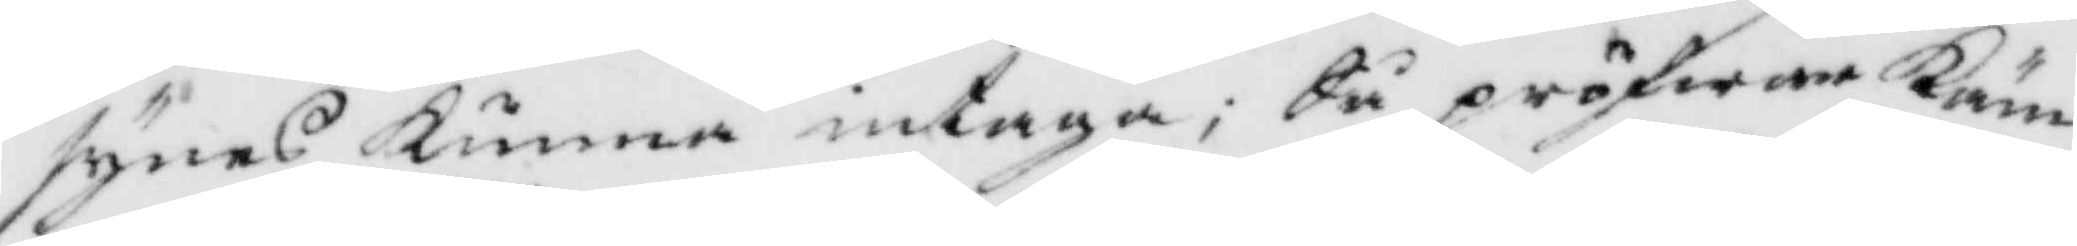synes kunna intaga; Så pröfwar Käm¬
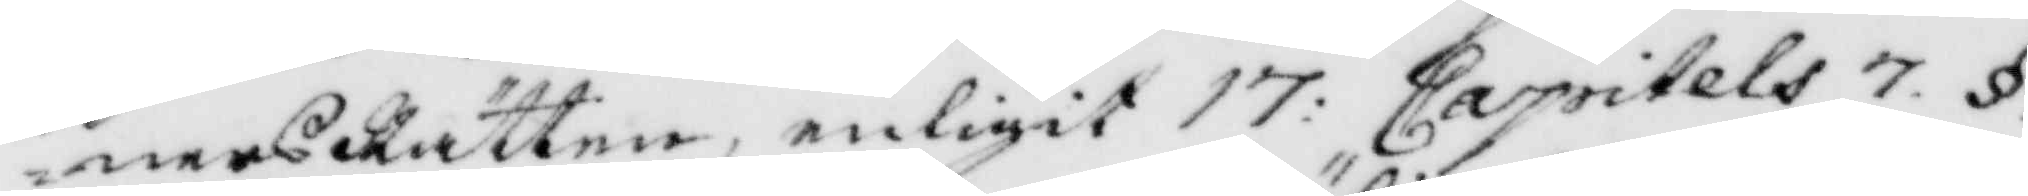nersRätten, enligit 17: Capitels 7 §.
